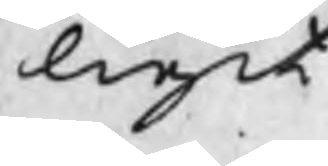ligit
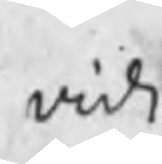vidi
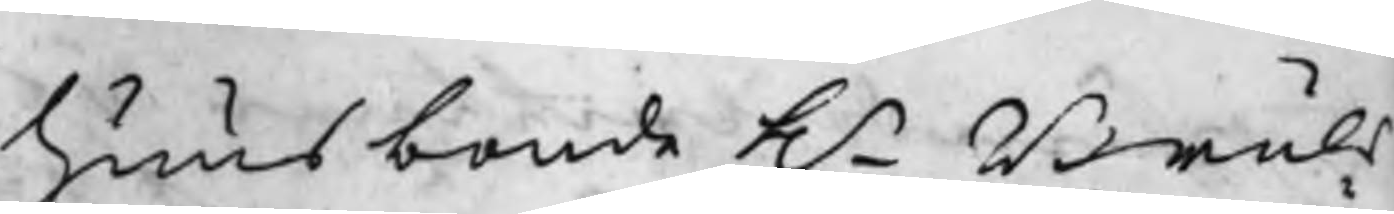huusbonde Hr Bruks
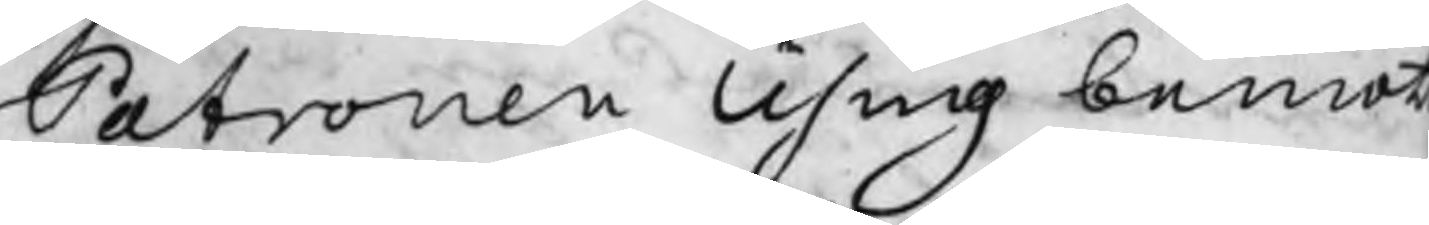Patronen Using bemöt
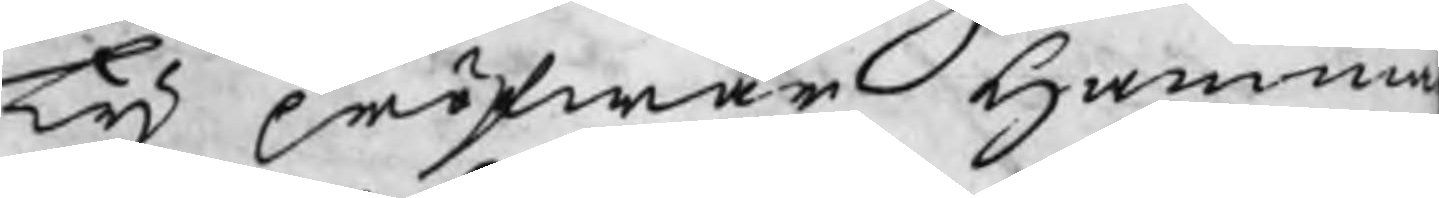Ty pröfwar Hamma
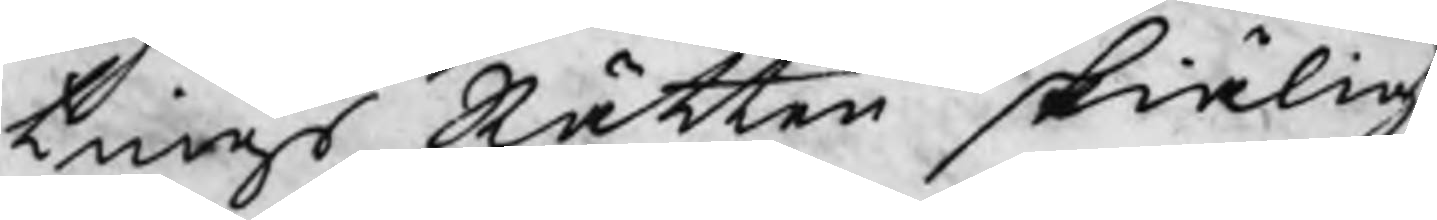tings Rätten skiäligt
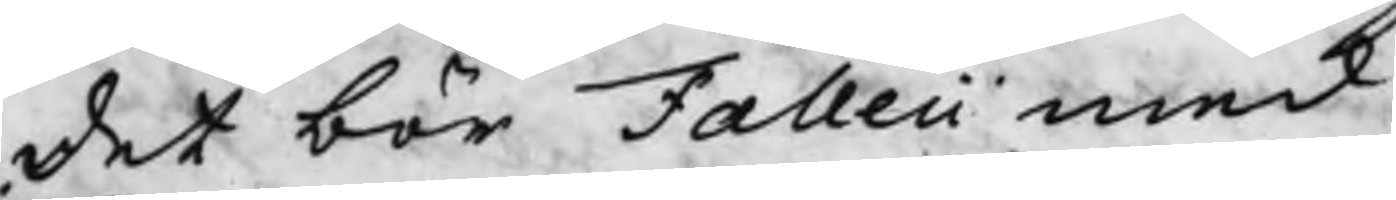det bör Falleii med
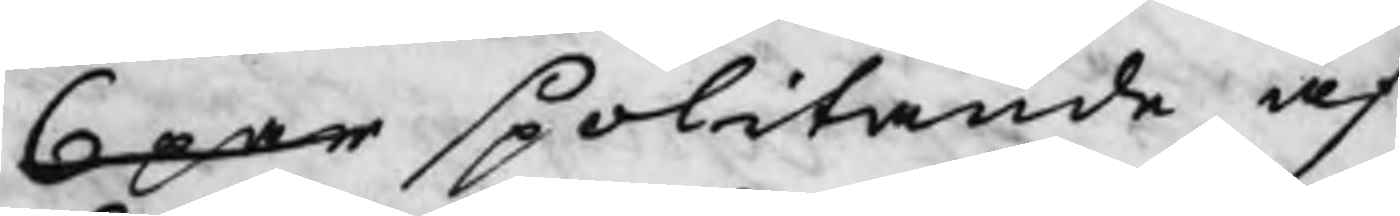6 par spolitande af
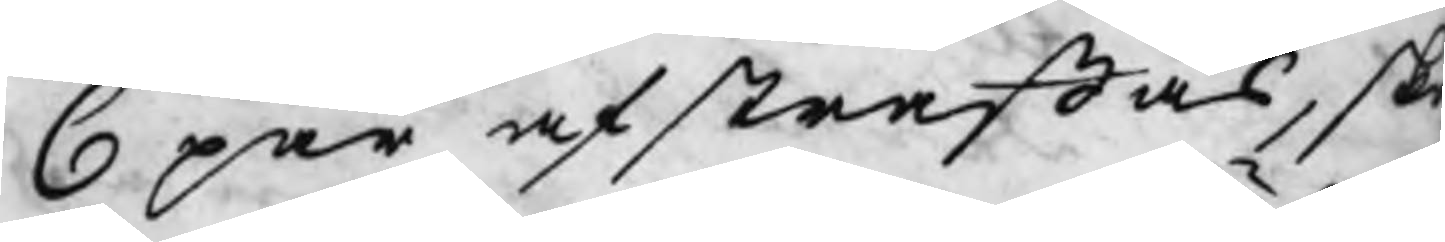6 par afstraffas, sk
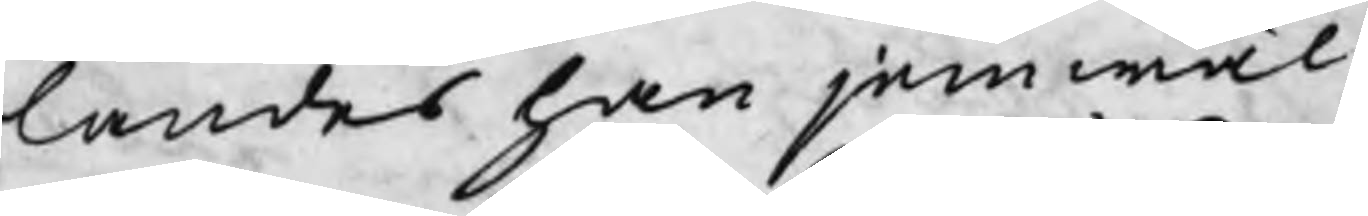landes han jemwäl
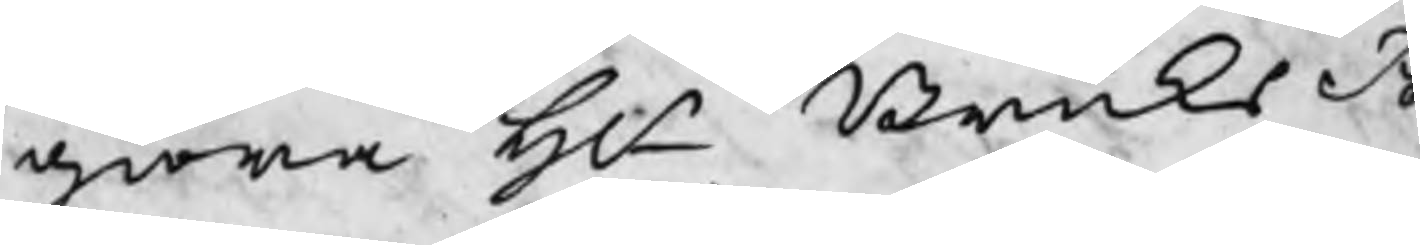giöra Hr BruksPa¬
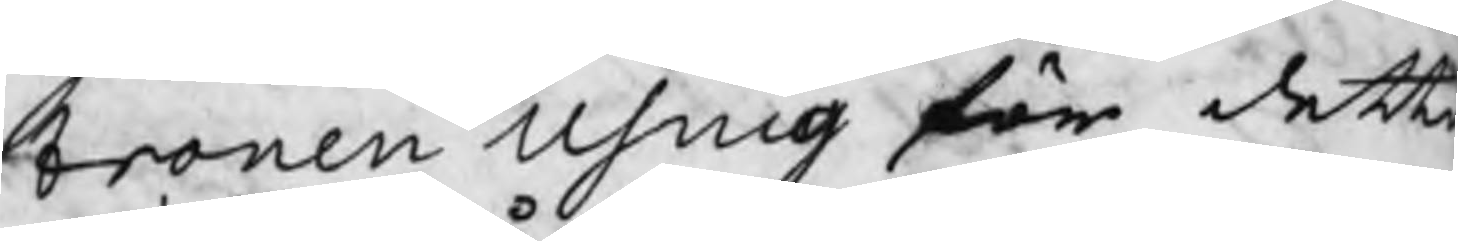tronen Using för detta
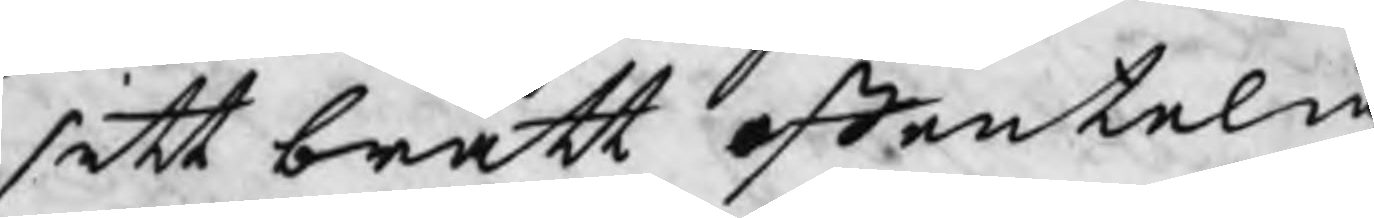sitt brått offentelig
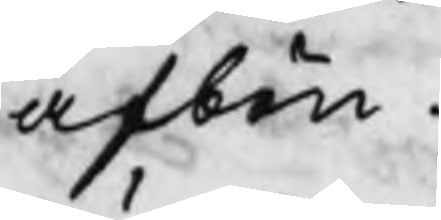afbön.
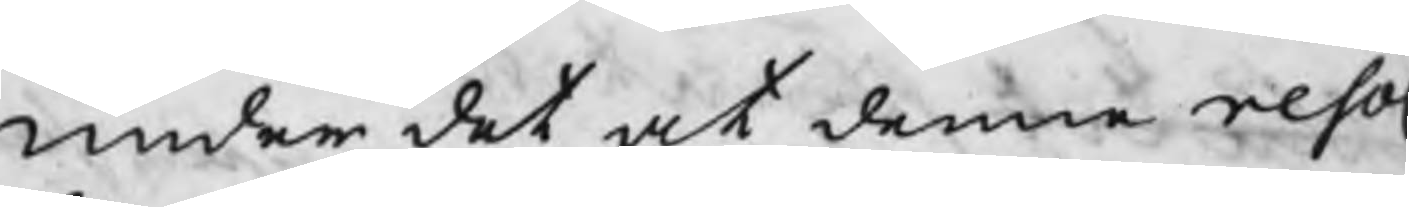Under det at denna resol.
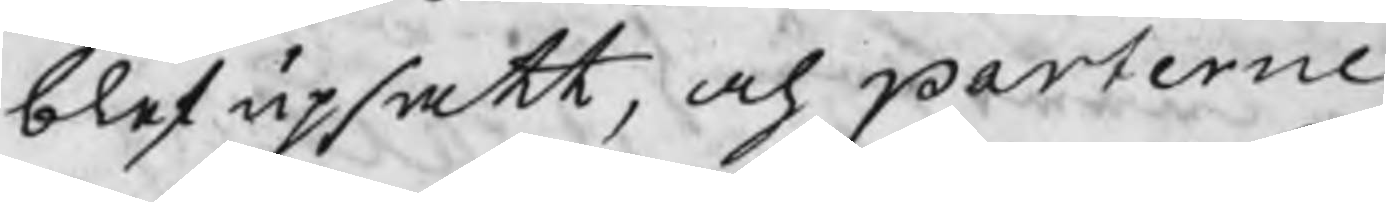blef upsatt, och parterne
